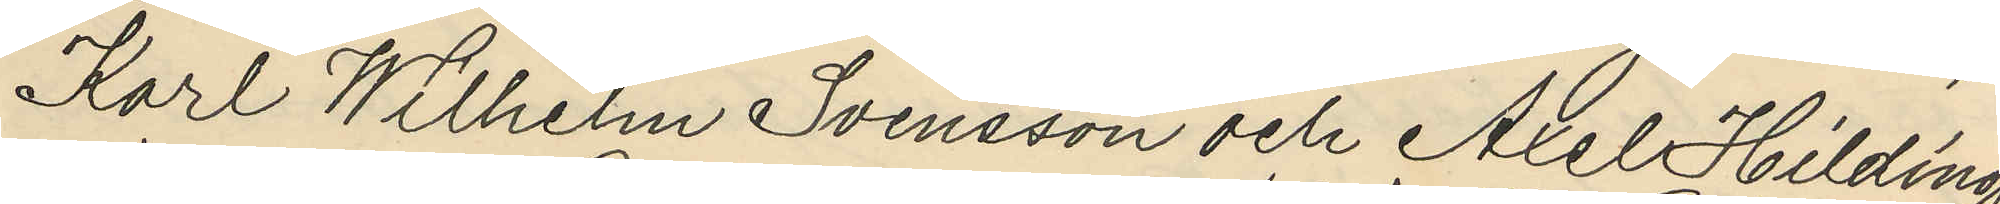Karl Wilhelm Svensson och Axel Hilding
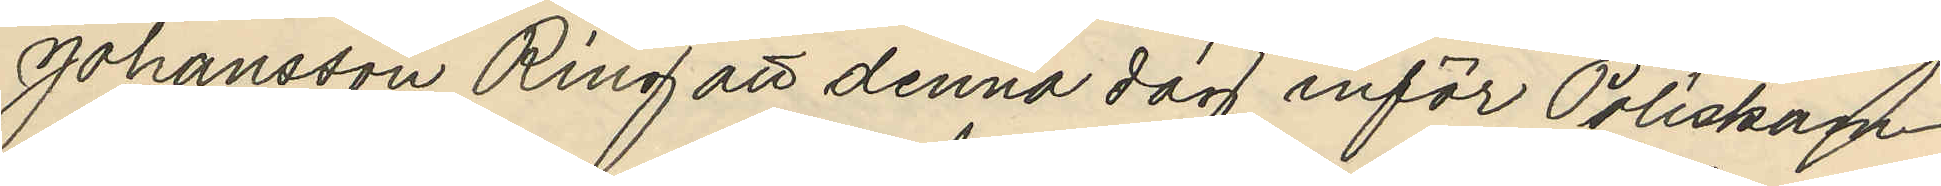Johansson Ring att denna dag inför Poliskam¬
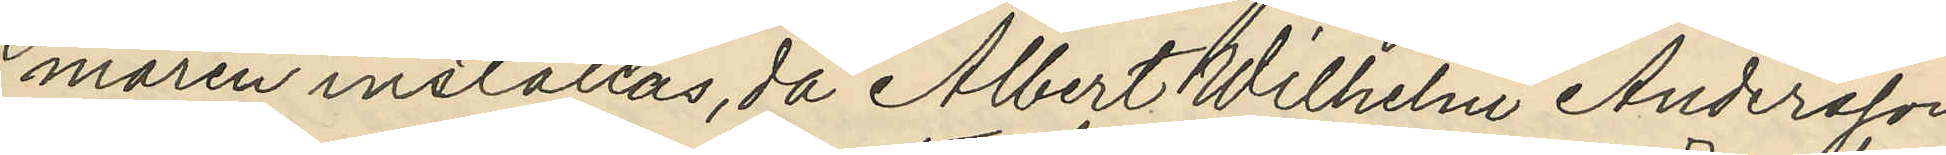maren inställas, då Albert Wilhelm Andersson
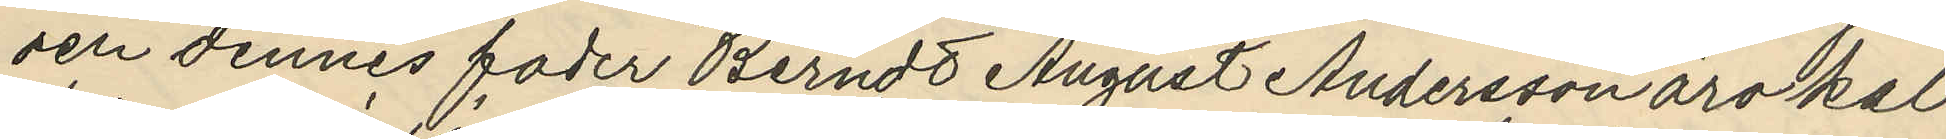och dennes fader Berndt August Andersson äro kal¬
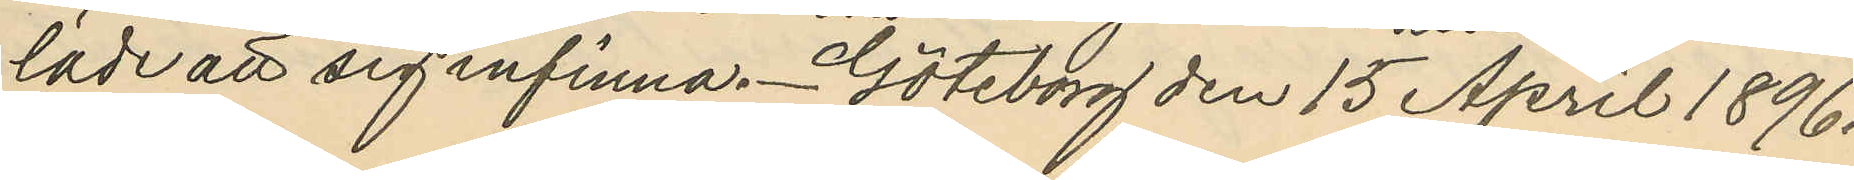lade att sig infinna. Göteborg den 15 April 1896.
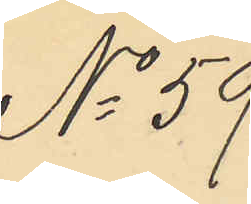No 59.
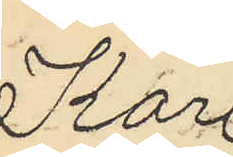Karl
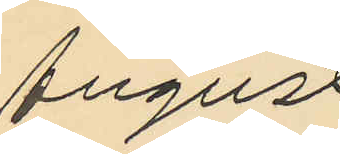August
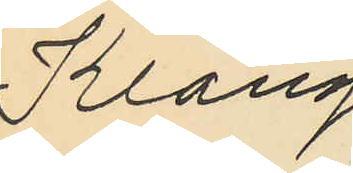Klang,
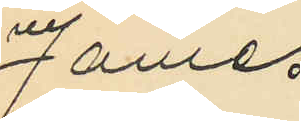James
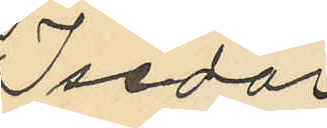Isidor
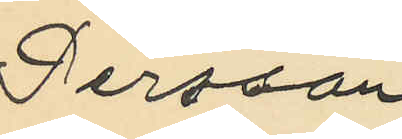Persson
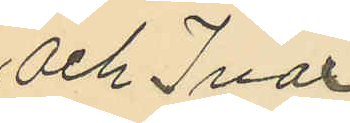och Ivar
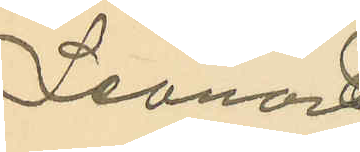Leonard
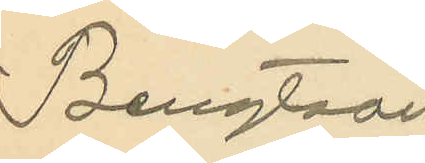Bengtsson
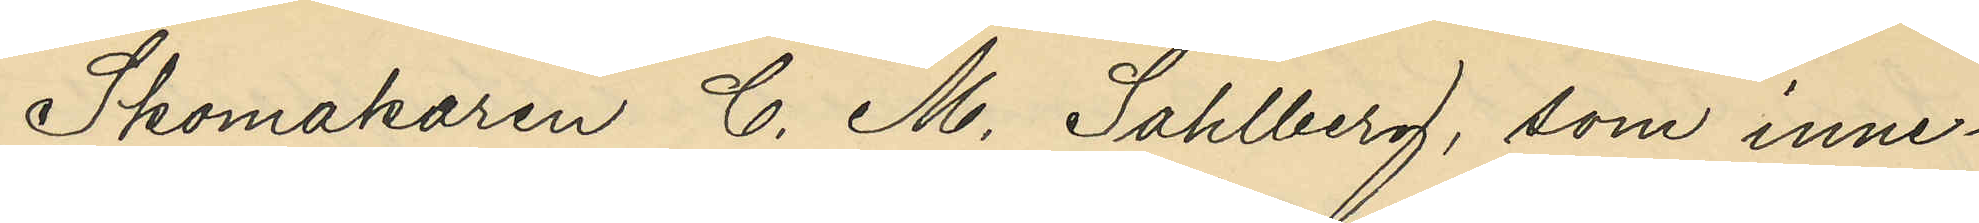Skomakaren C. M. Sahlberg, som inne¬
